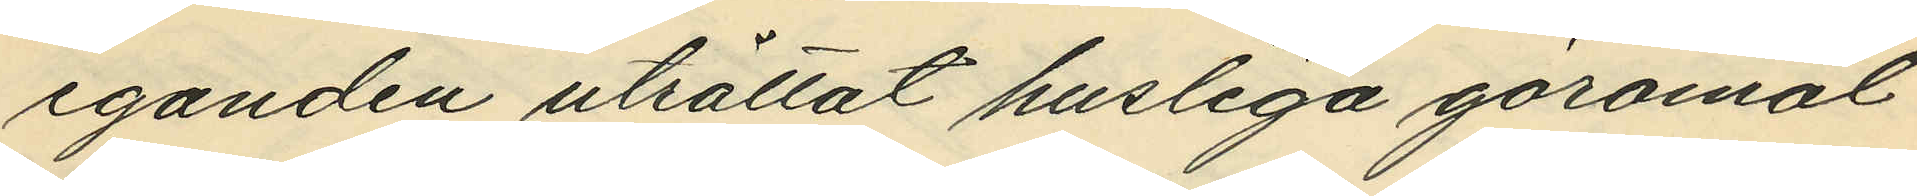eganden uträttat husliga göromål
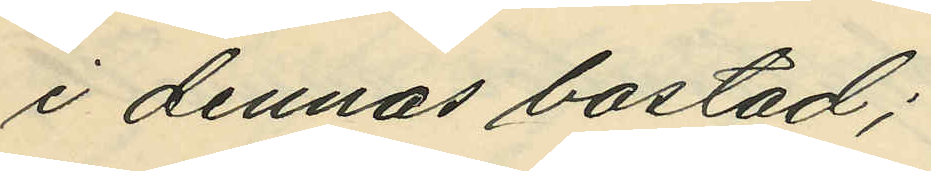i dennas bostad;
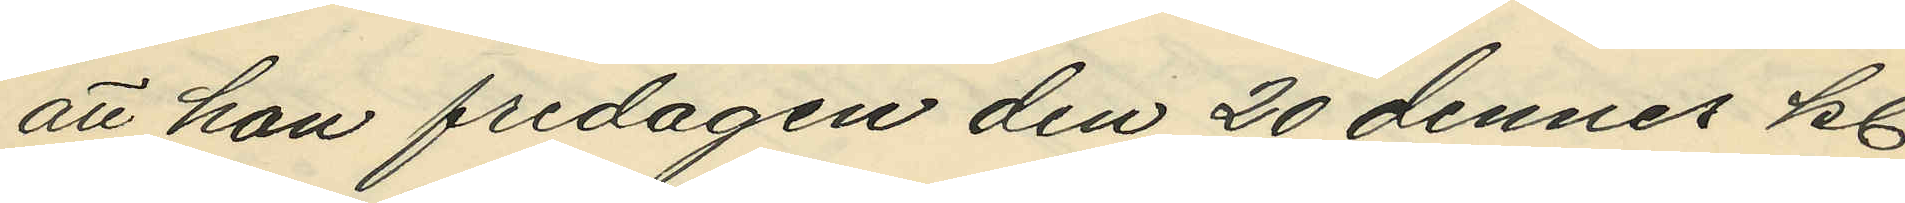att hon fredagen den 20 dennes kl.
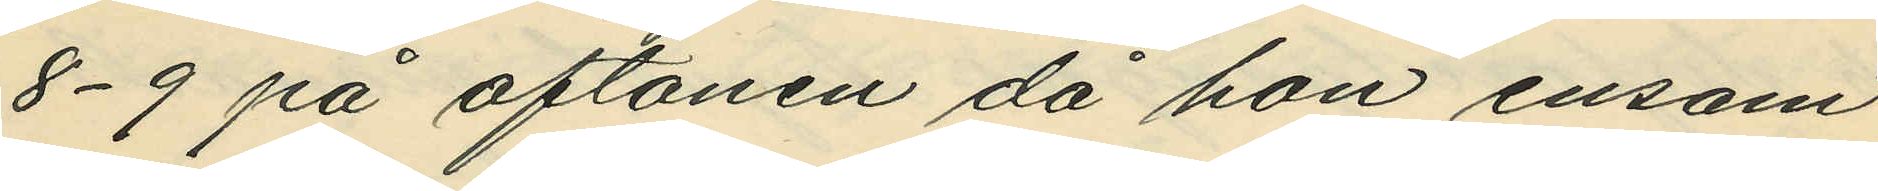8-9 på aftonen då hon ensam
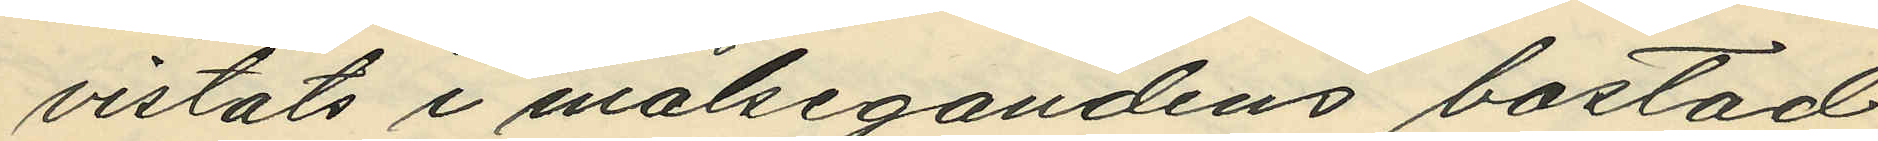vistats i målsegandens bostad
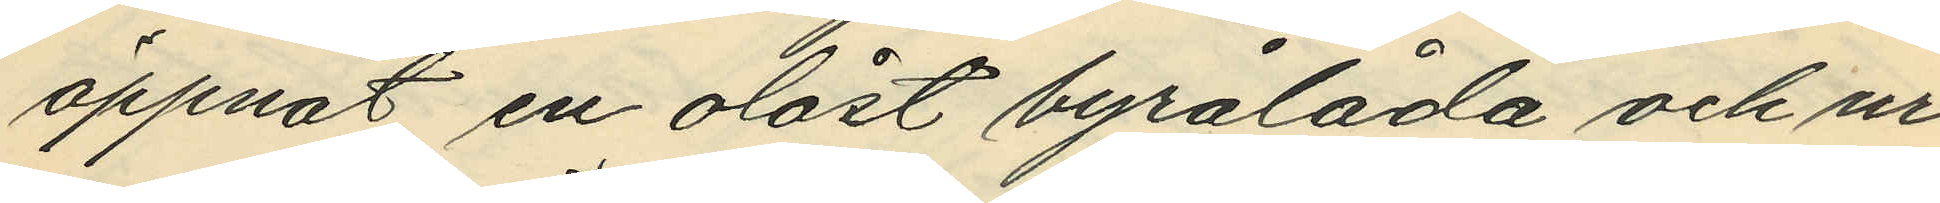öppnat en olåst byrålåda och ur
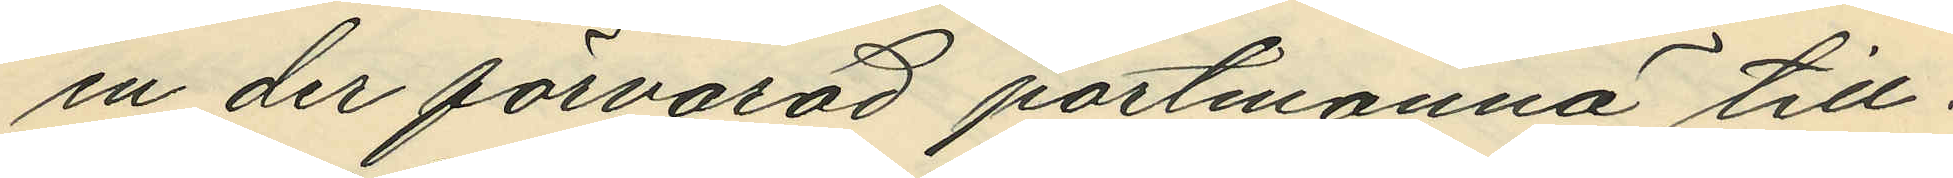en der förvarad portmonnä till¬
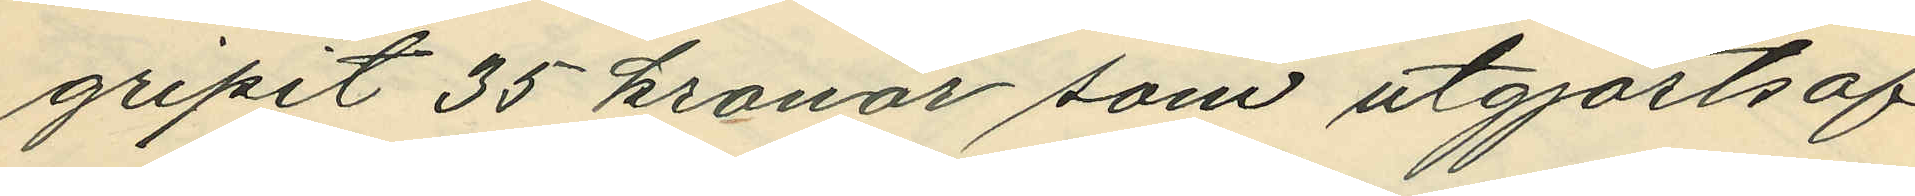gripit 35 kronor som utgjorts af
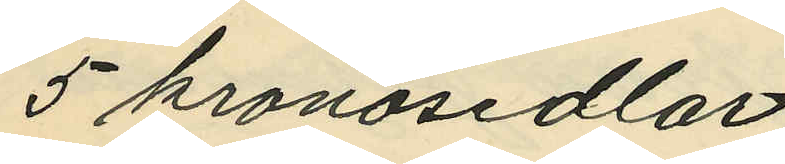5 kronosedlar;
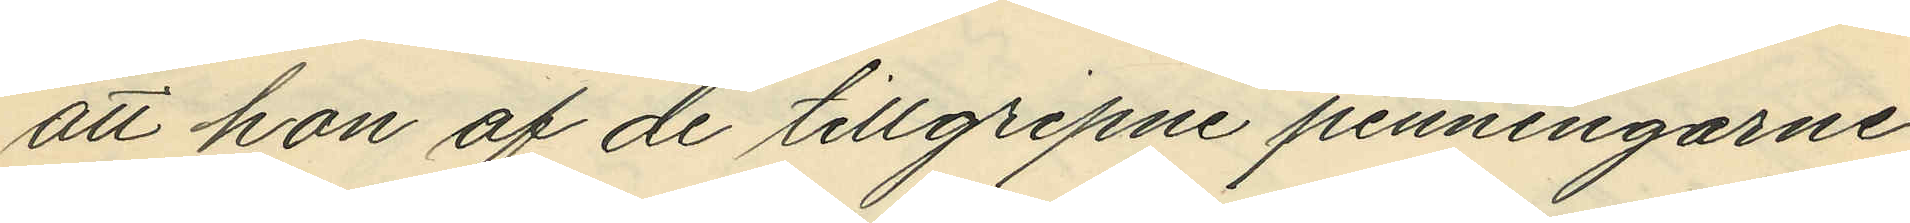att hon af de tillgripne penningarne
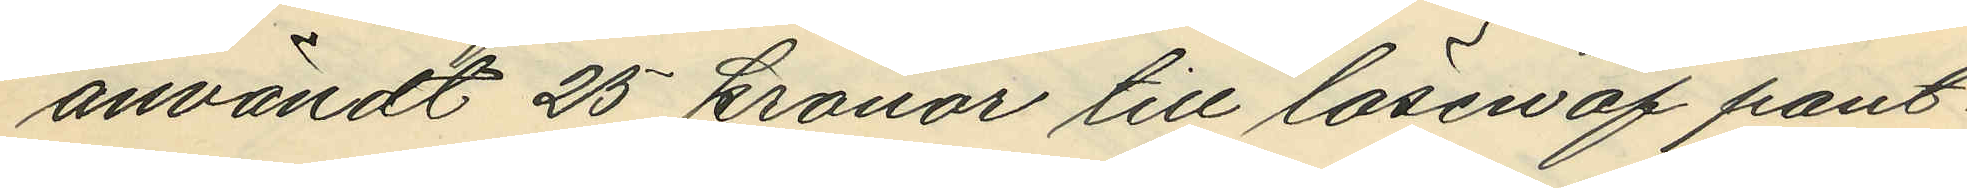användt 25 kronor till lösen af pant¬
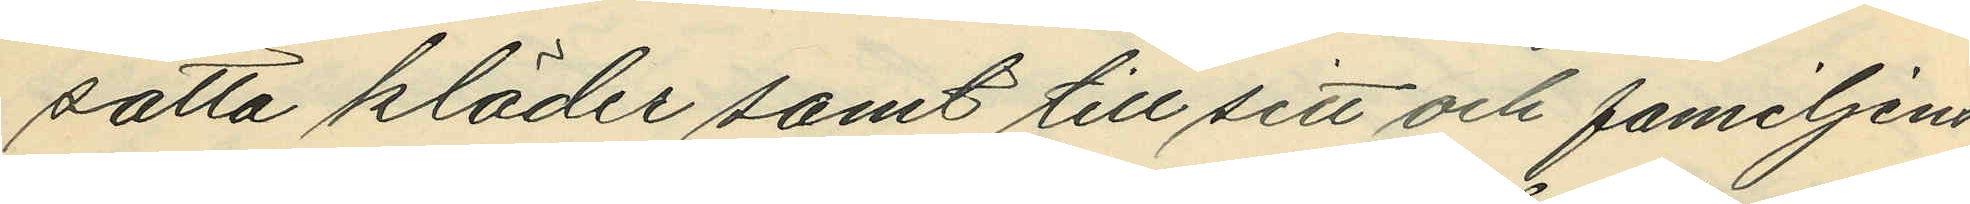satta kläder samt till sitt och familjens
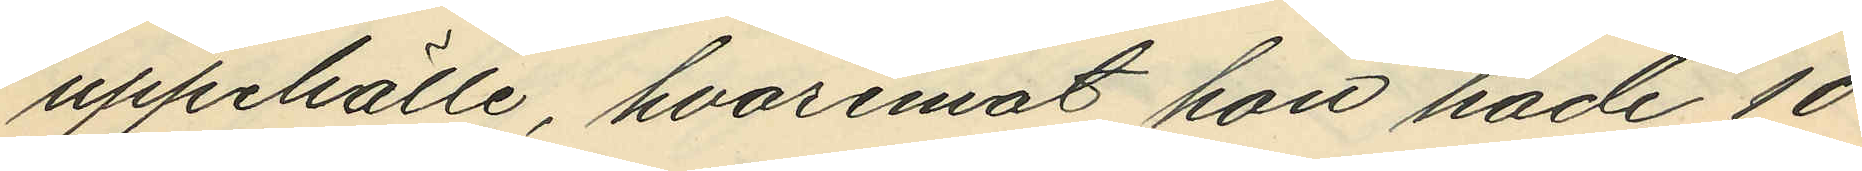uppehälle, hvaremot hon hade 10
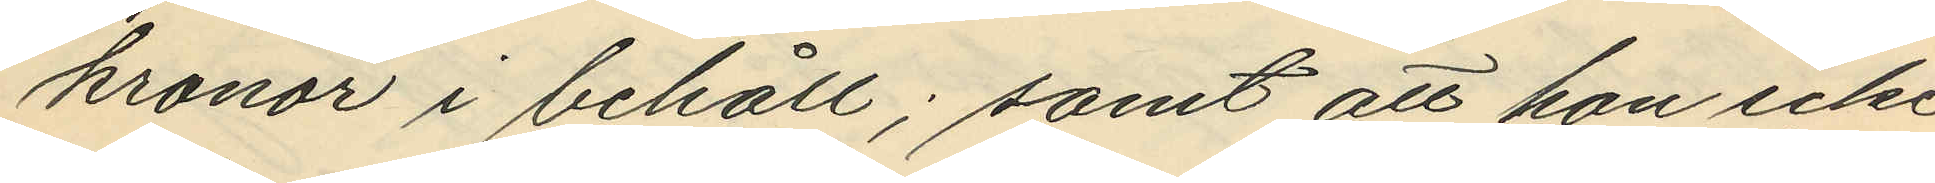kronor i behåll; samt att hon icke
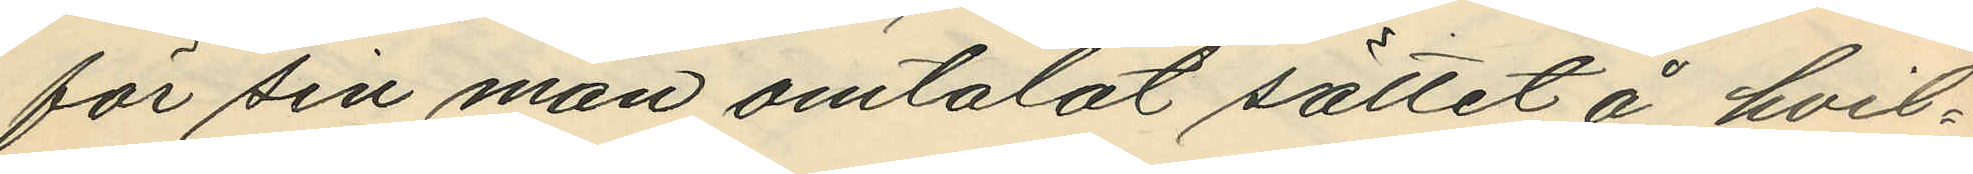för sin man omtalat sättet å hvil¬
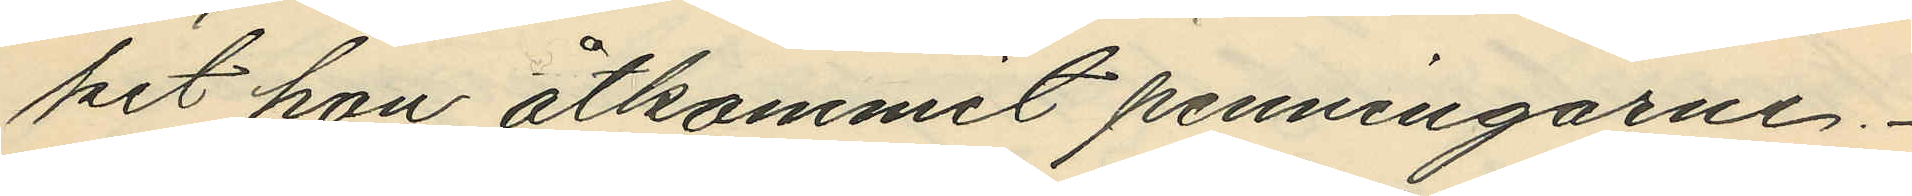ket hon åtkommit penningarne.
